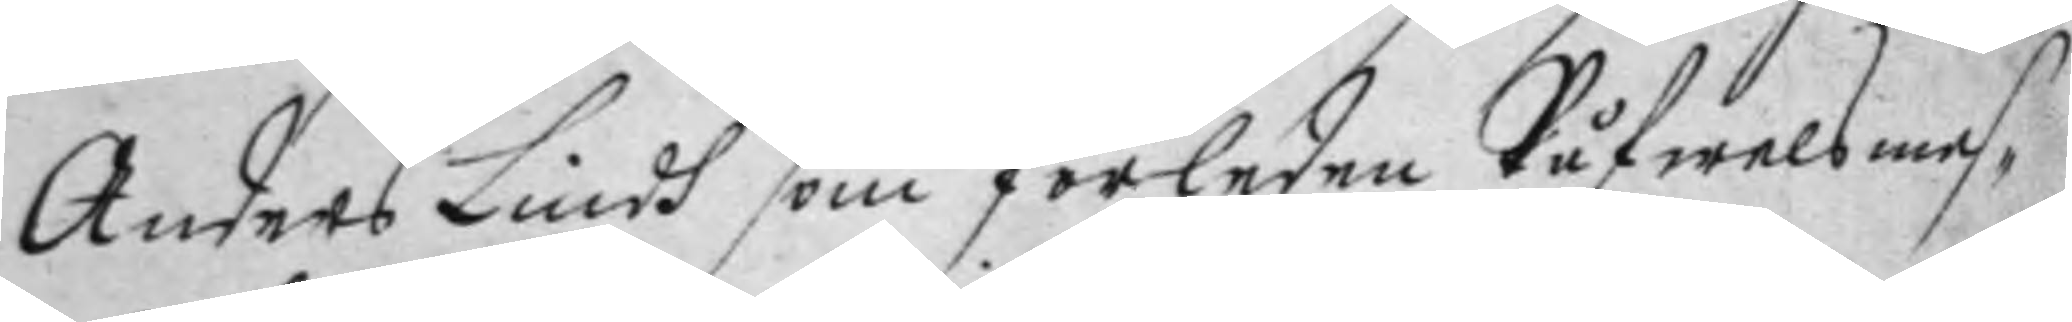Anders Lindh som förledne Påfwels mes¬ 
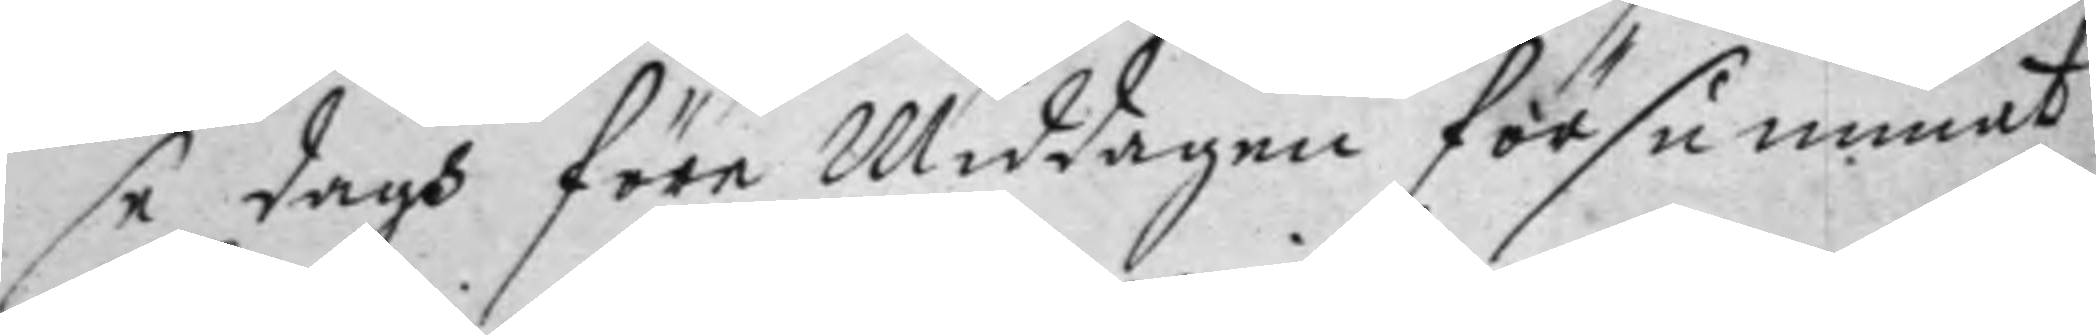se dagh före Middagen försummat
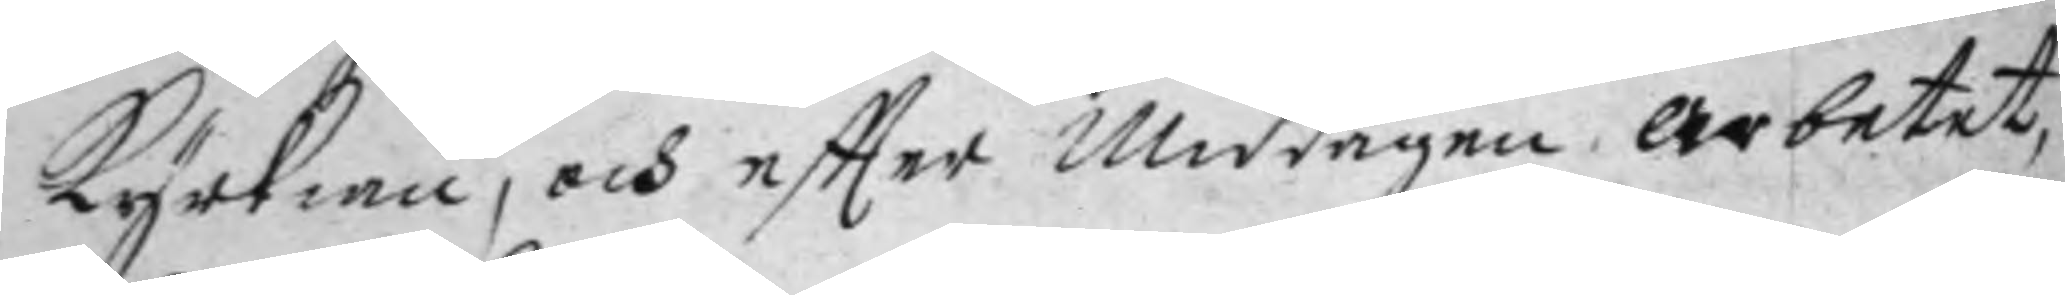Kyrkian, och eftter Middagen arbetat,
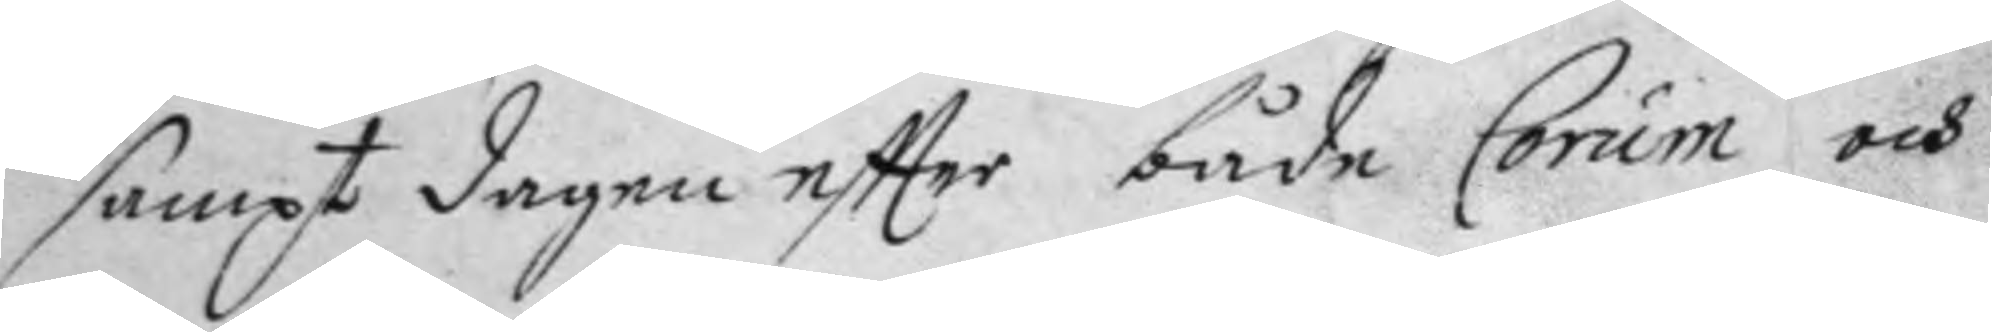sampt dagen eftter både Corum och
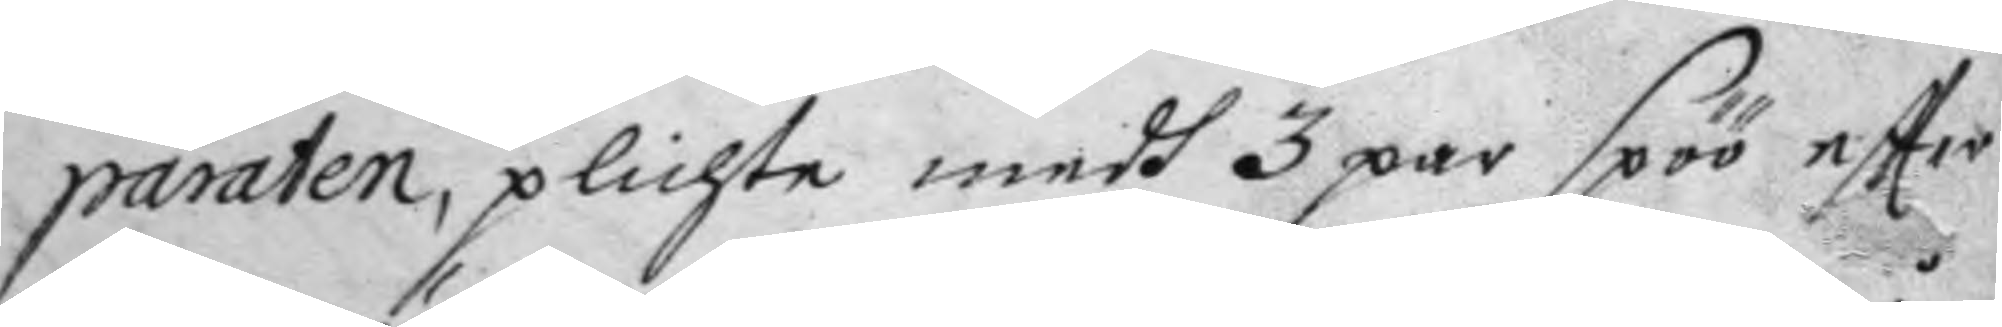paraten, plichta medh 3 par spöö eftter
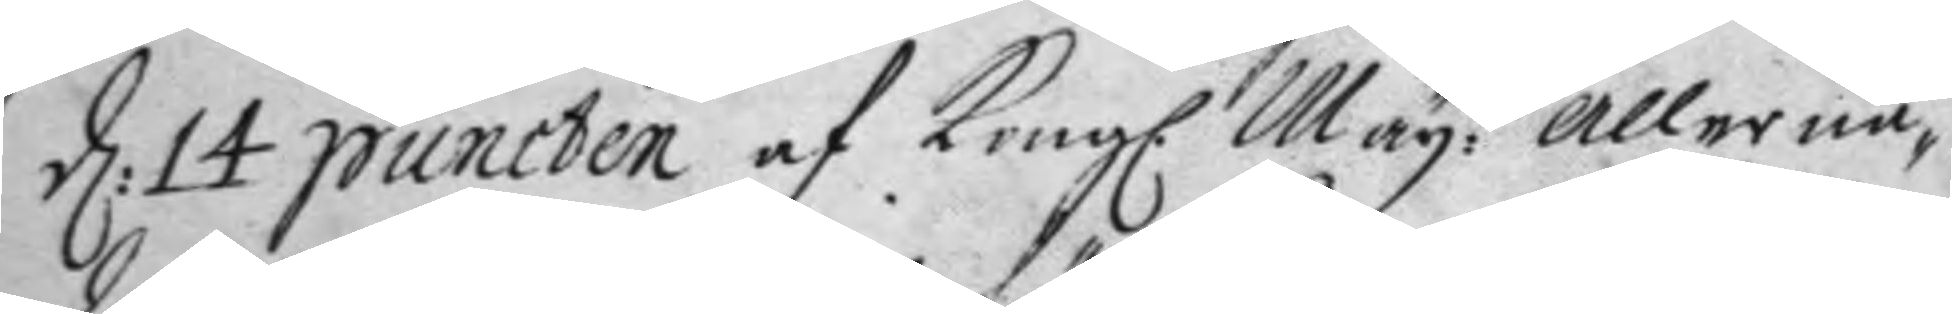d: 14 puncten af Kong. May:tz allernå¬
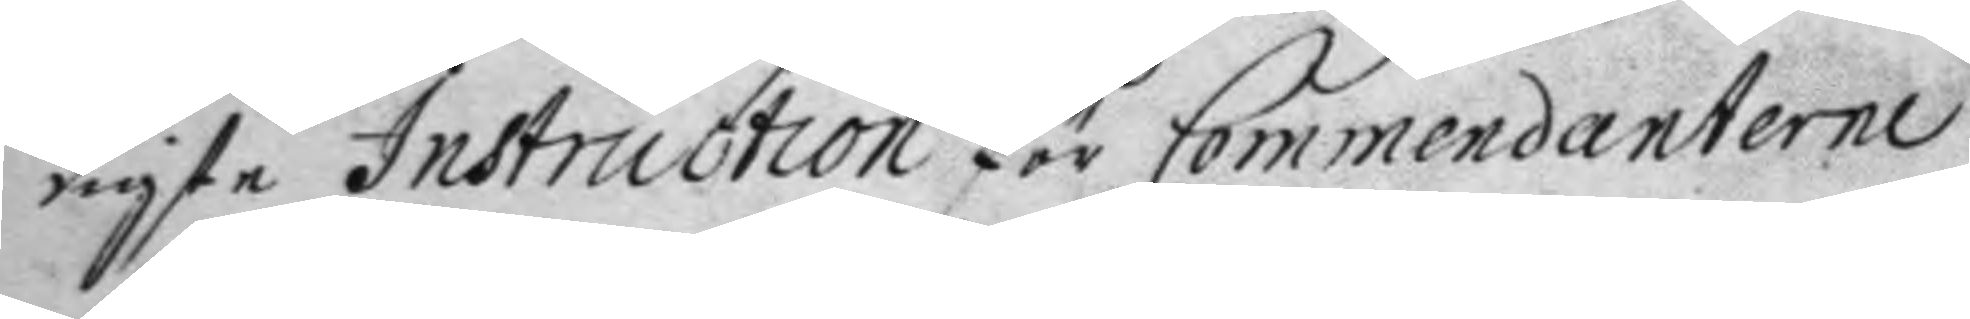digste Instruction för Commendanterne
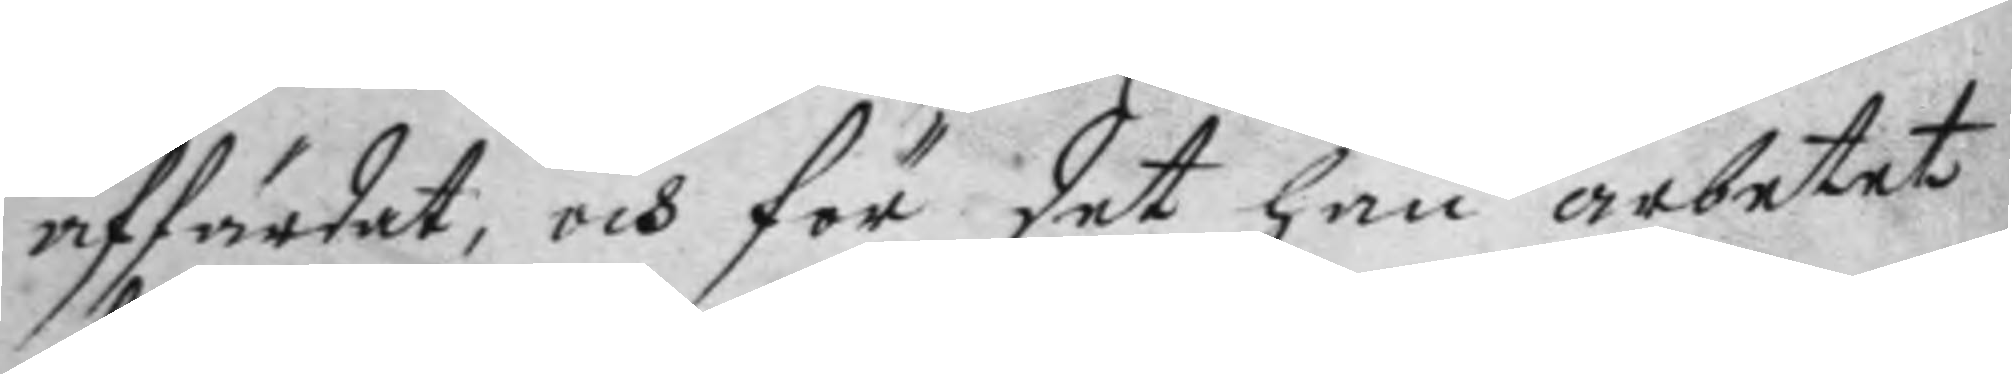affärdat; och för det han arbetat
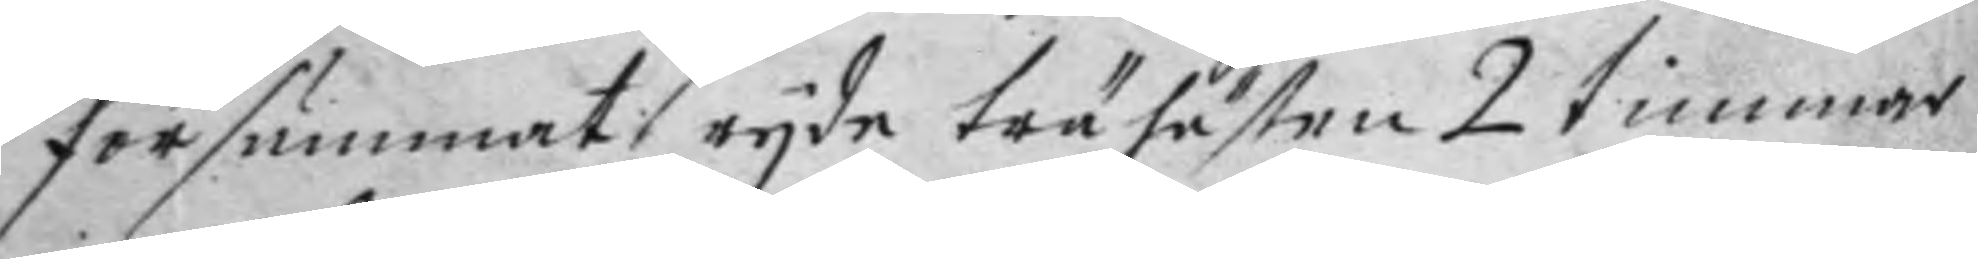försummat ryda trähästen 2 timmar
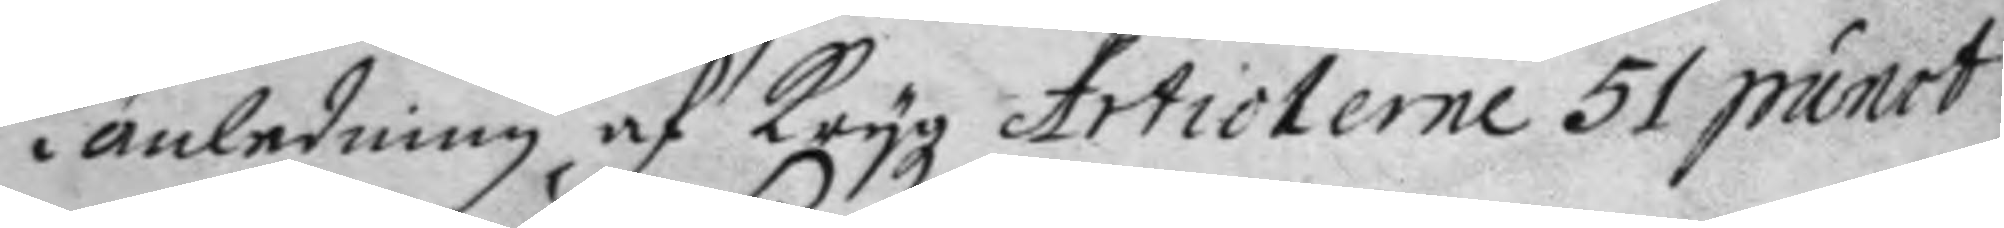i anledning af Krygz Articlerne 51 punct
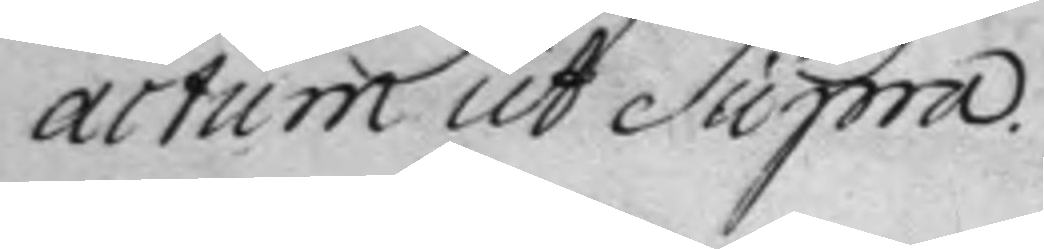actum ut Supra.
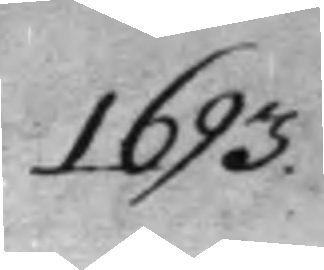1693.
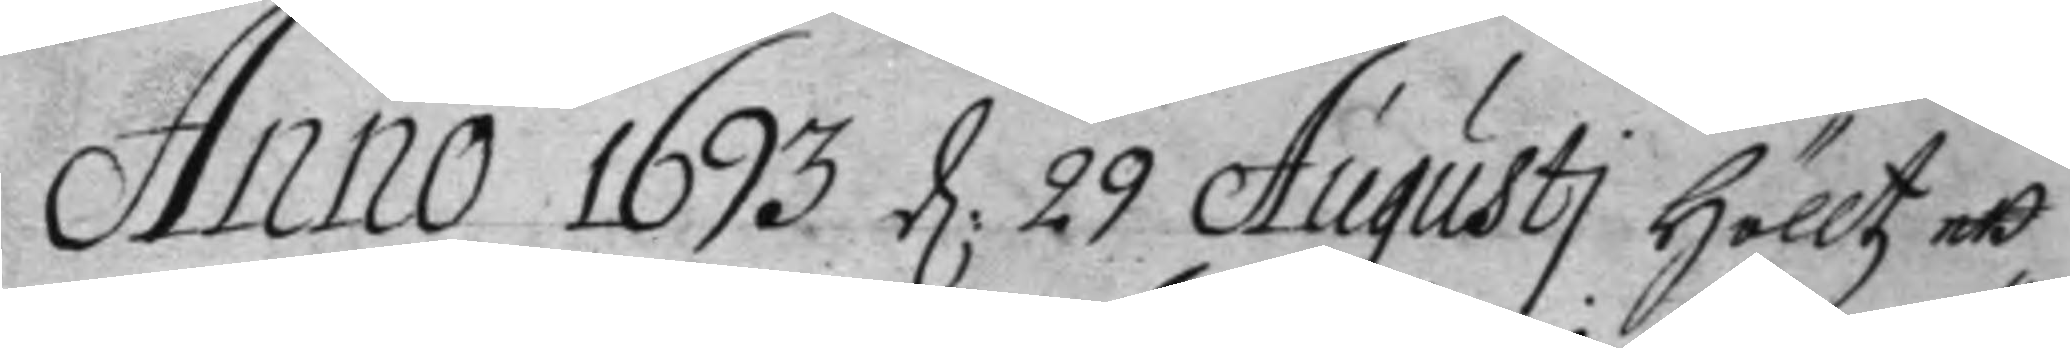Anno 1693 d: 29 Augusti hölltz ett
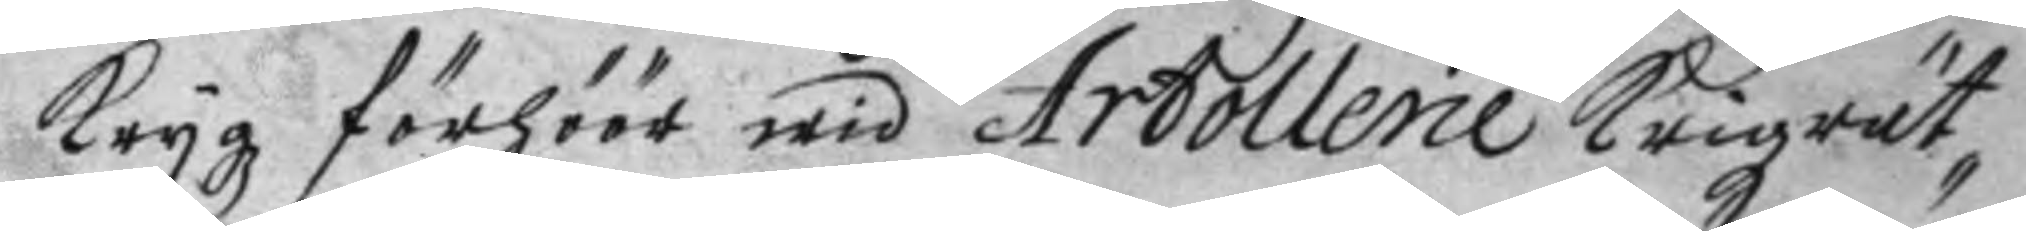Krygz förhöör wid Artollerie Krigzrät¬
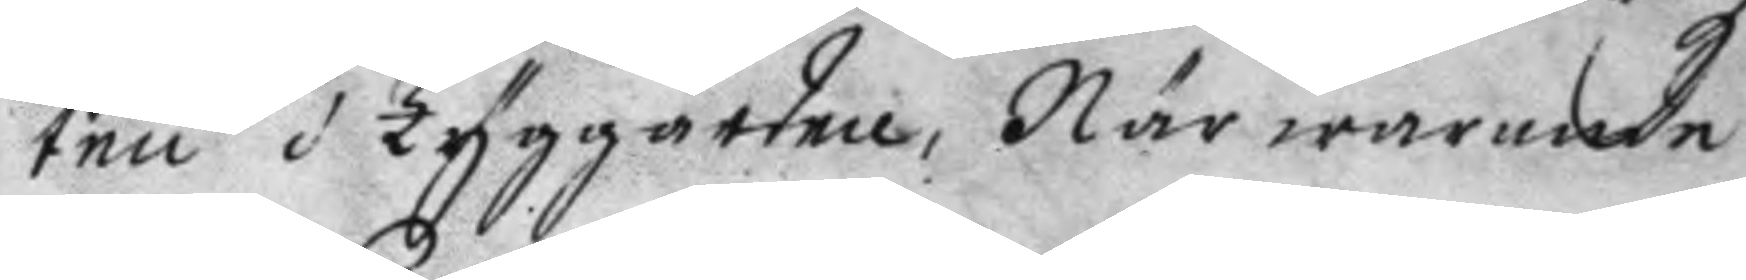ten i Tyggården, Närwarande
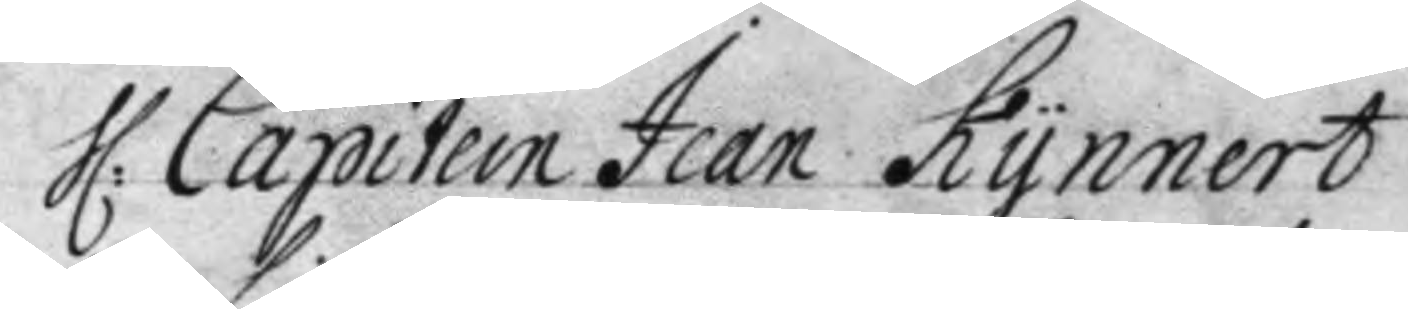H: Capitein Jean Kynnert
